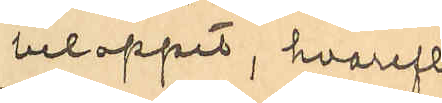beloppet, hvarefter
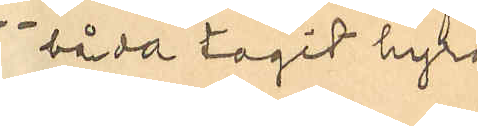båda tagit hyra
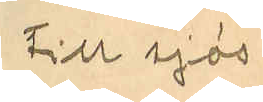till sjös.
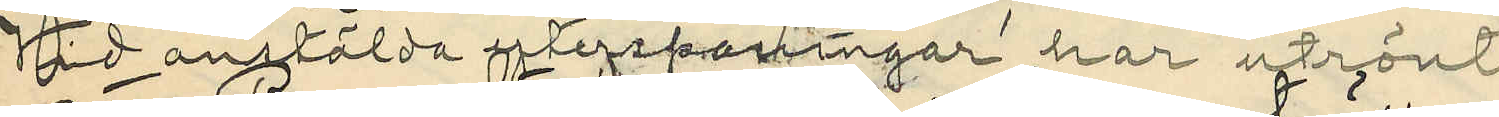Vid anstälda efterspaningar har utrönts,
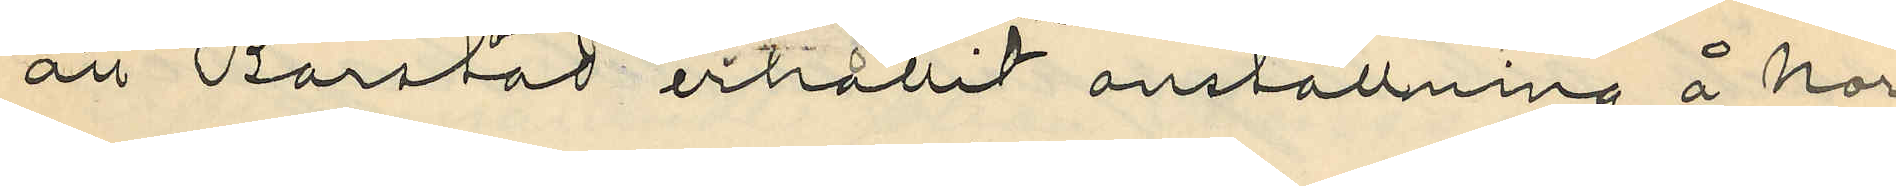att Barstad erhållit anställning å nor¬
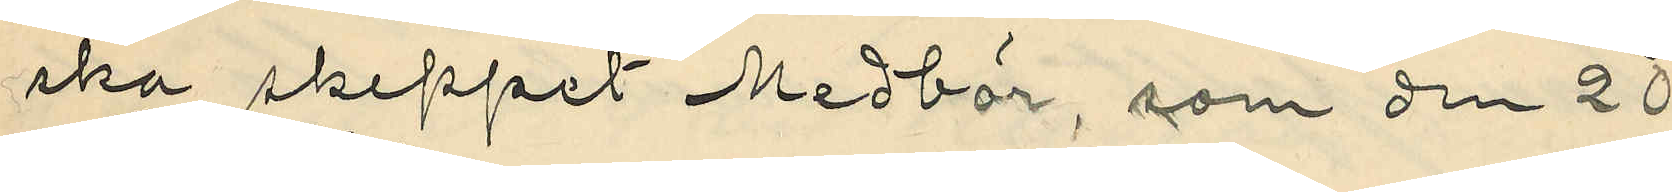ska skeppet Medbör, som den 20
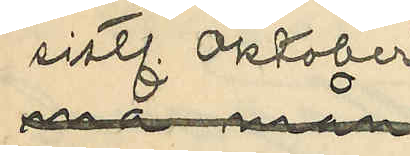sistl. Oktober
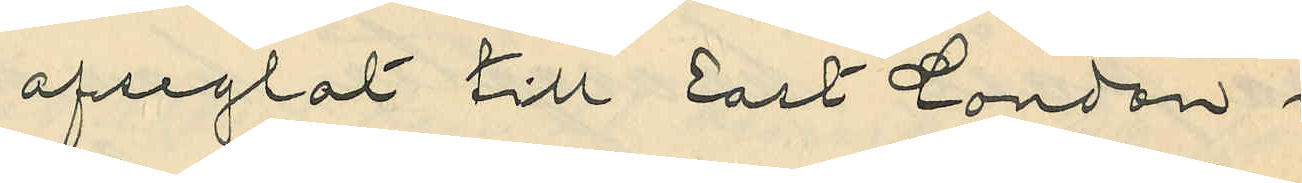afseglat till East London i
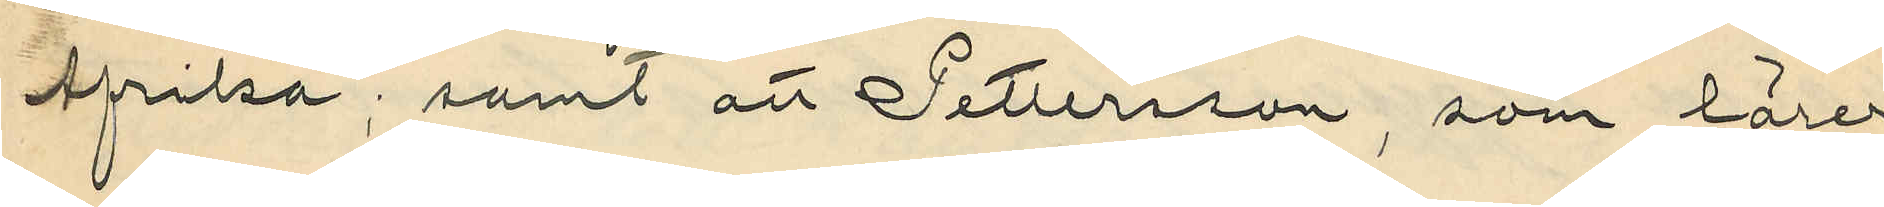Afrika; samt att Pettersson, som lärer
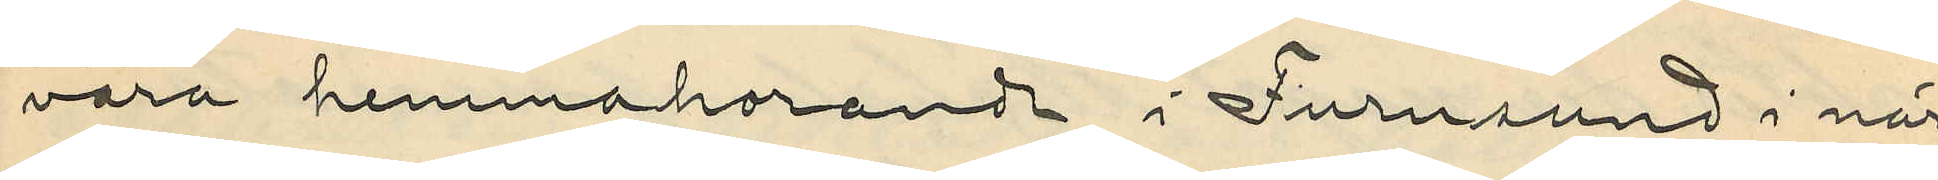vara hemmahorande i Furusund i när¬
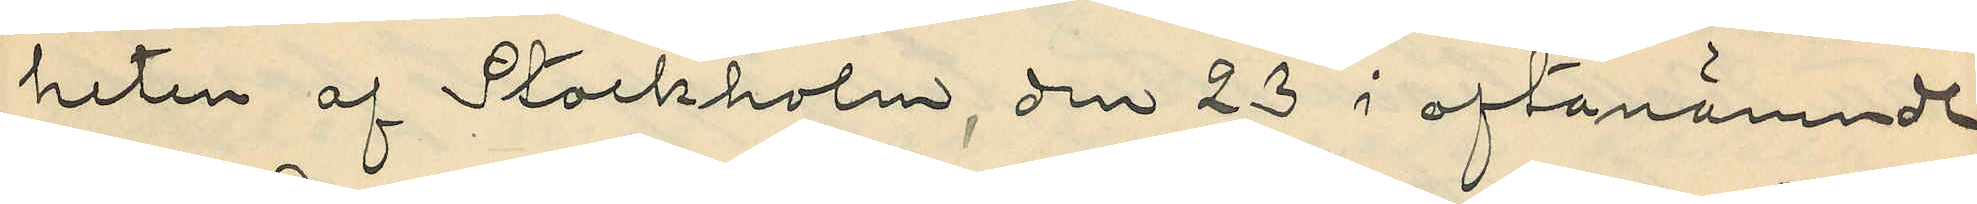heten af Stockholm, den 23 i oftanämnde
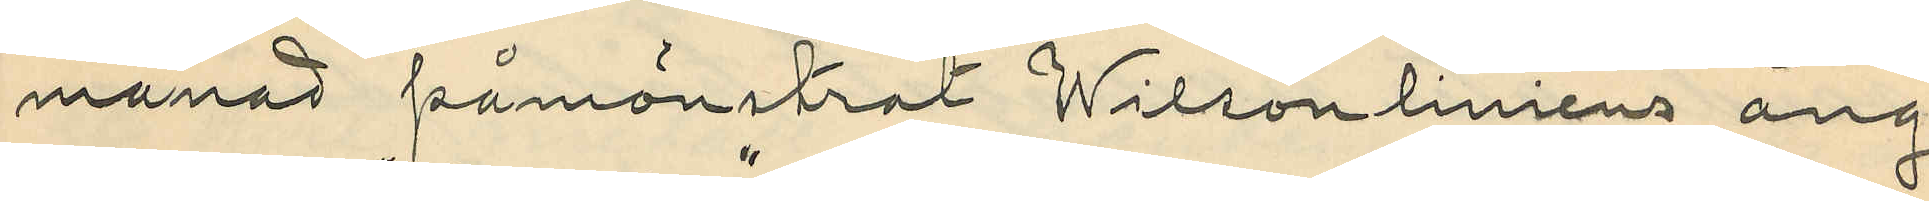månad påmönstrat Wilsonliniens ång¬
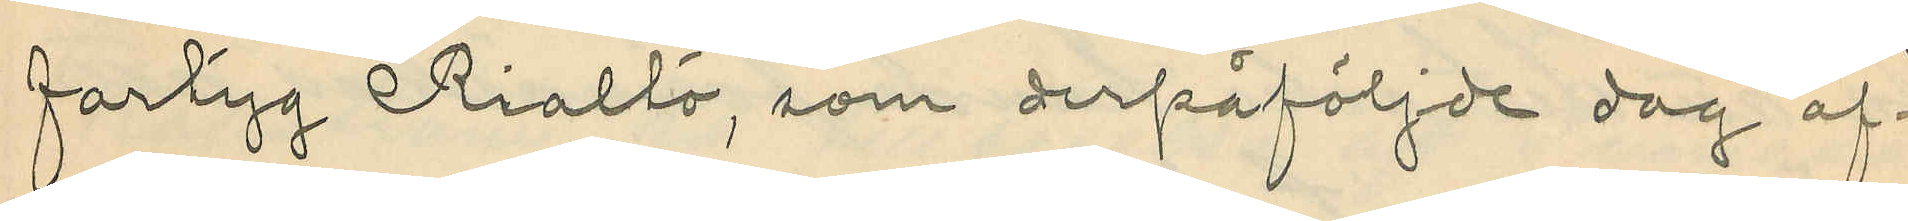fartyg "Rialto", som derpåföljde dag af¬
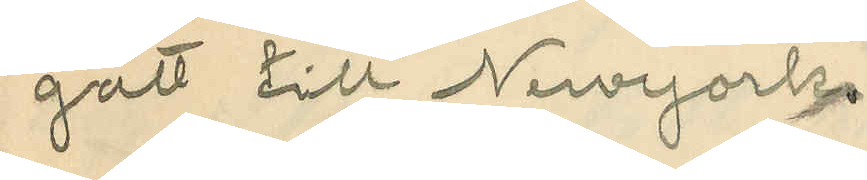gått till Newyork.
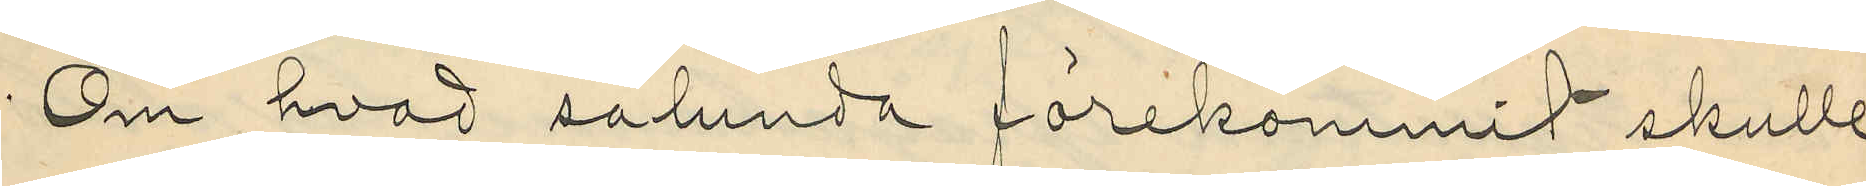Om hvad sålunda förekommit skulle
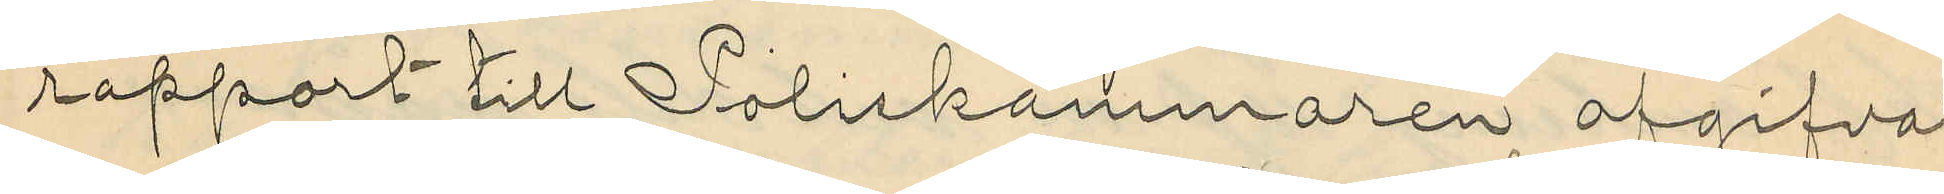rapport till Poliskammaren afgifvas
